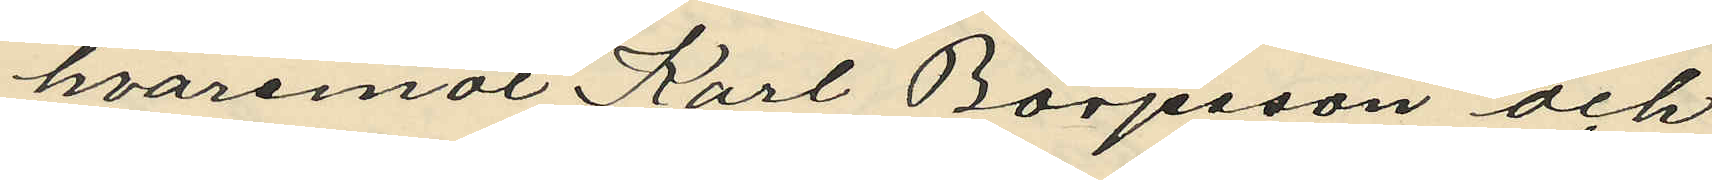hvaremot Karl Börjesson och
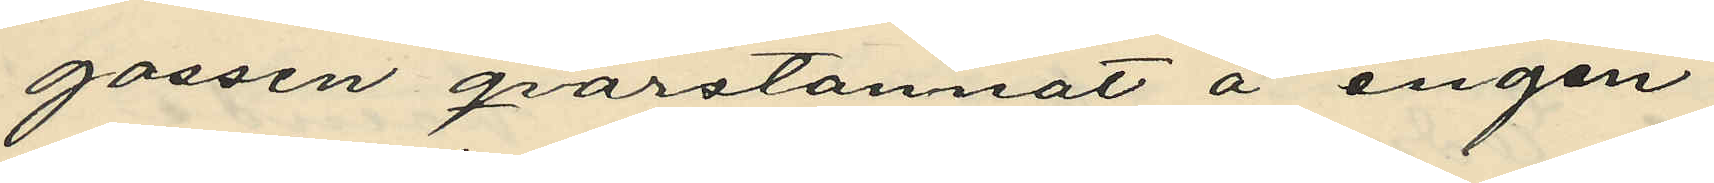gossen qvarstannat å ängen;
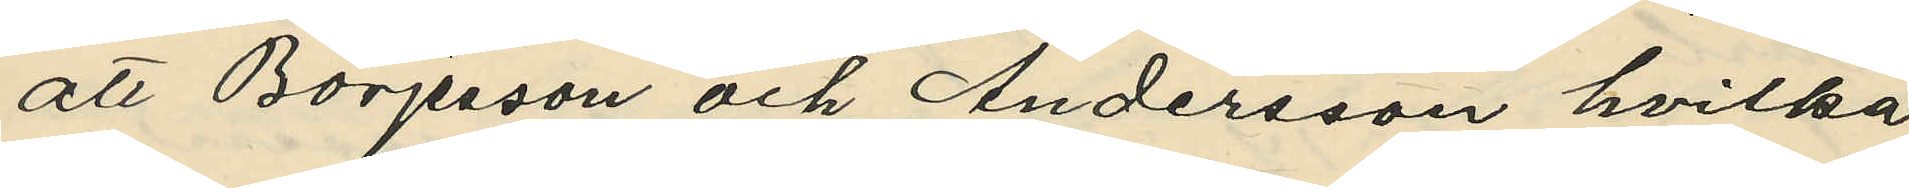att Börjesson och Andersson hvilka
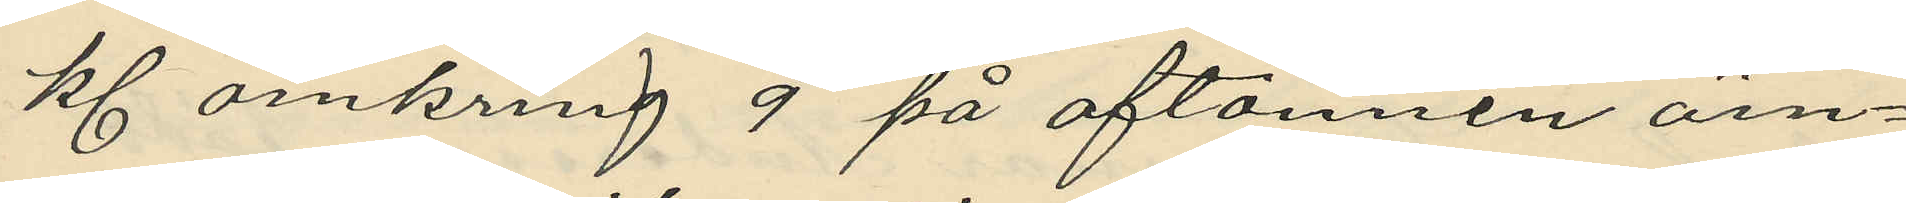kl. omkring 9 på aftonnen ärn¬
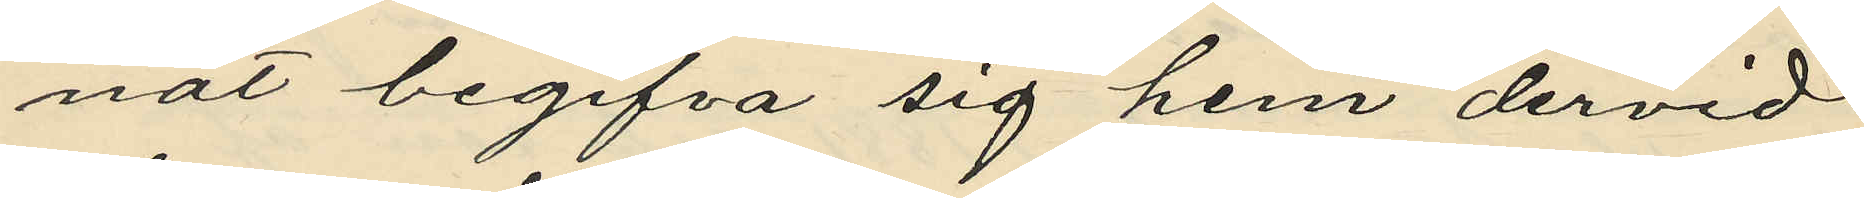nat begifva sig hem dervid
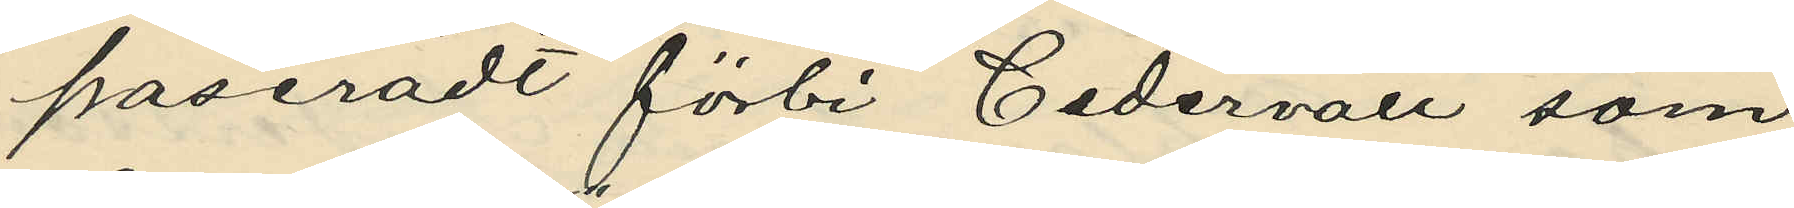paseradt förbi Cedervall som
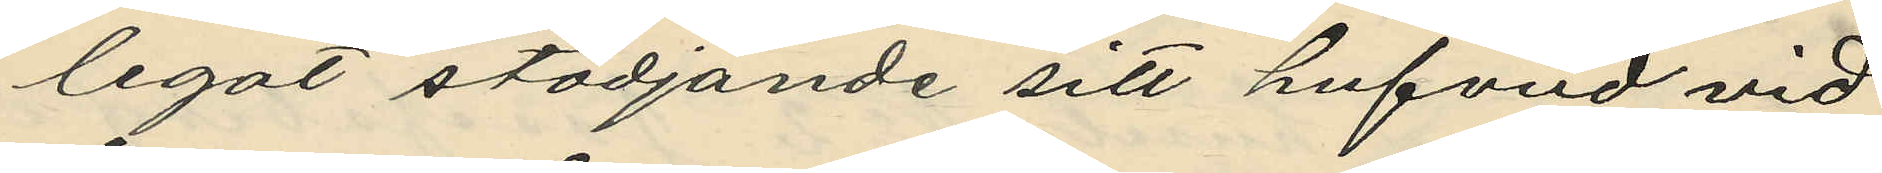legat stödjande sitt hufvud vid
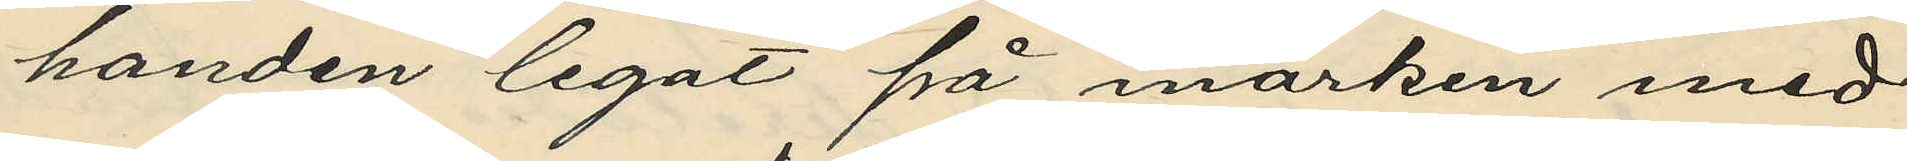handen legat på marken med
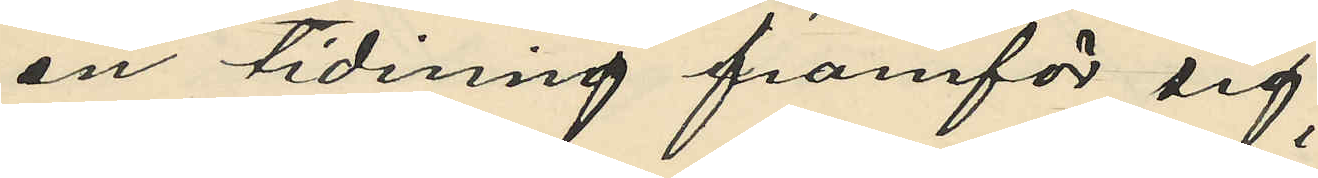en tidning framför sig;
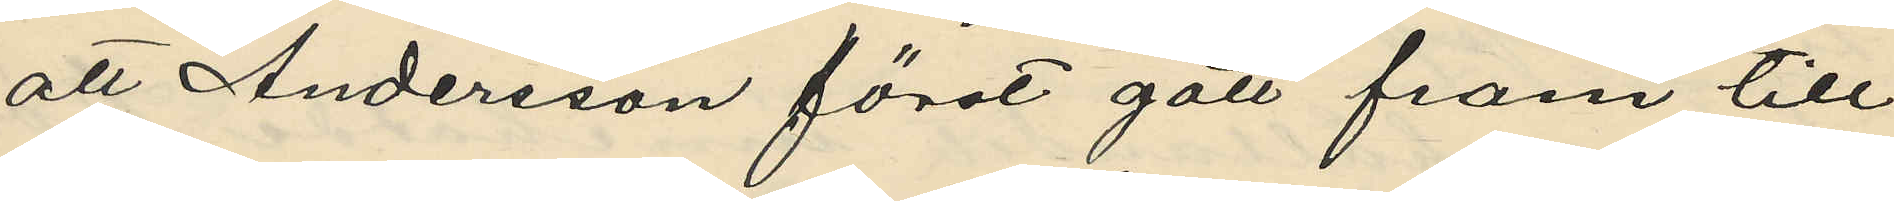att Andersson först gått fram till
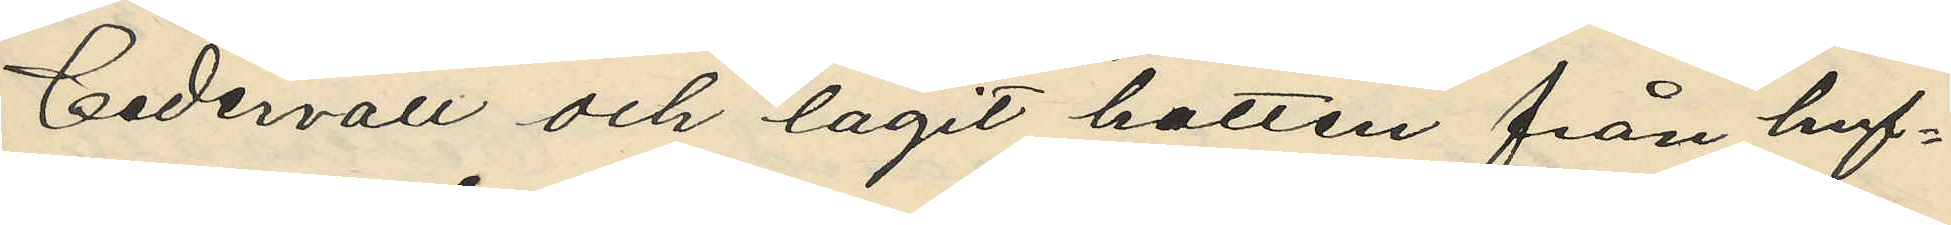Cedervall och lagit hatten från huf¬
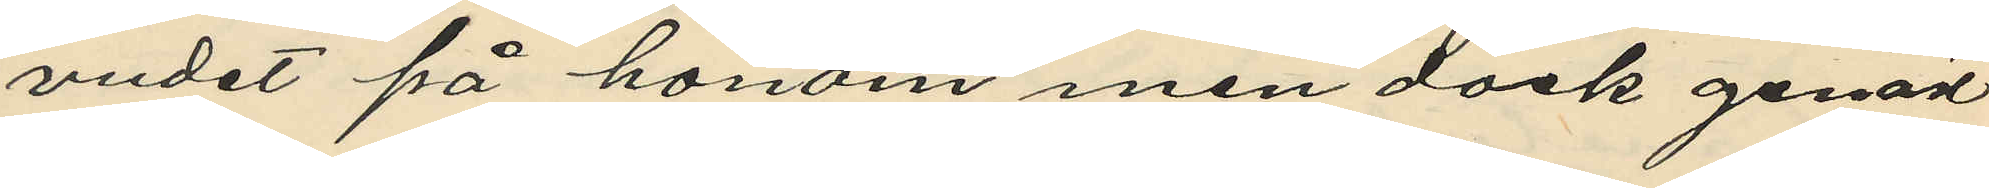vudet på honom men dock genast
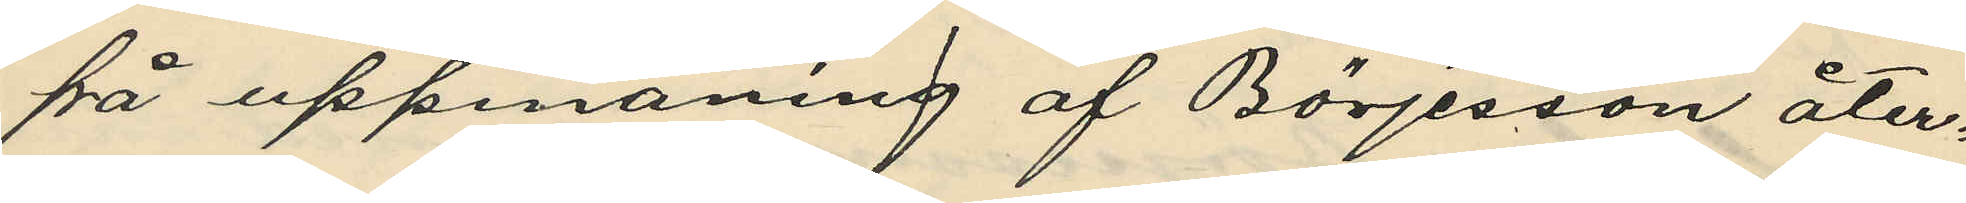på uppmaning af Börjesson åter¬
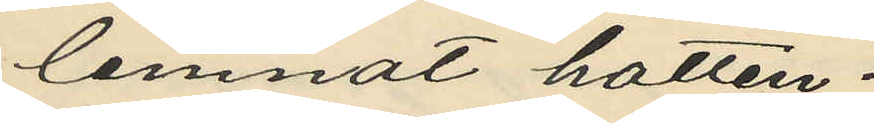lemnat hatten;
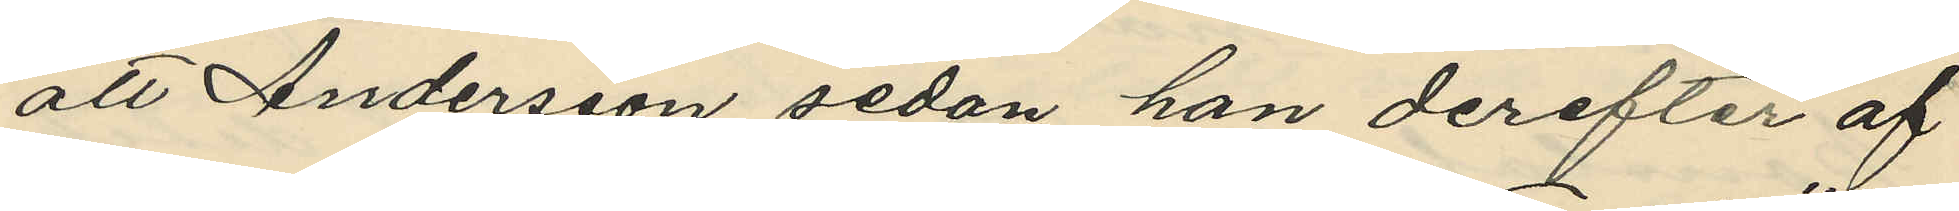att Andersson sedan han derefter af
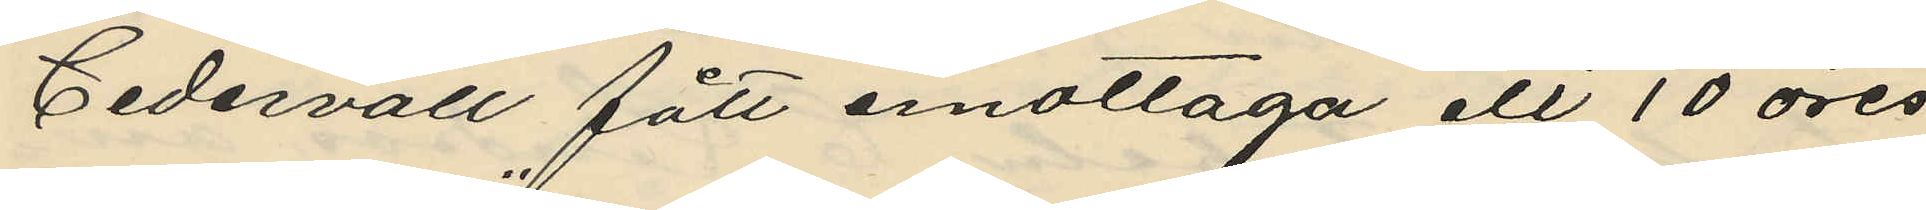Cedervall fått emottaga ett 10 öres
